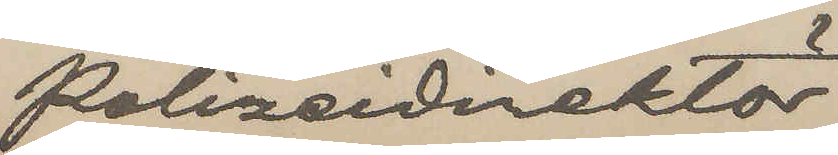Polizeidektör
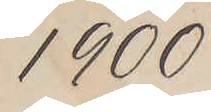1900
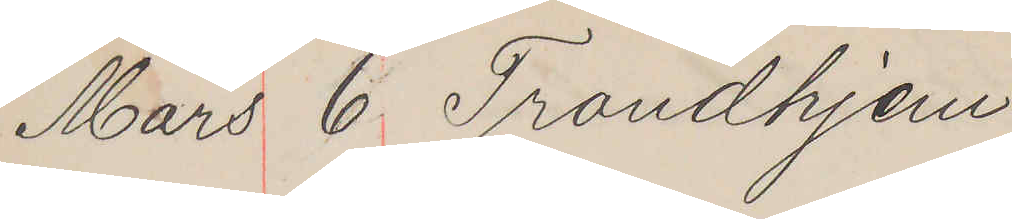Mars 6 Trondhjem
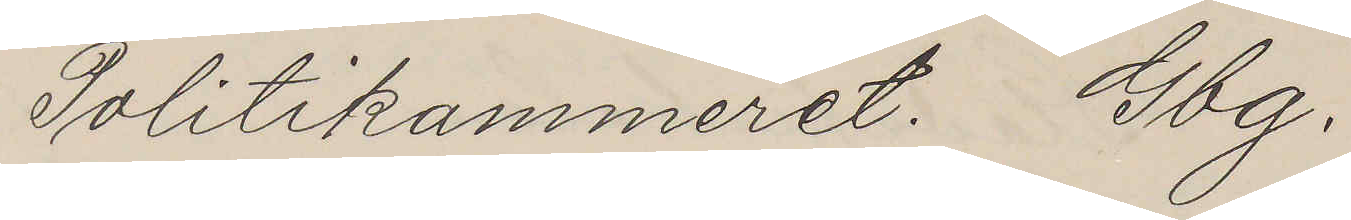Politikammeret. Gbg.
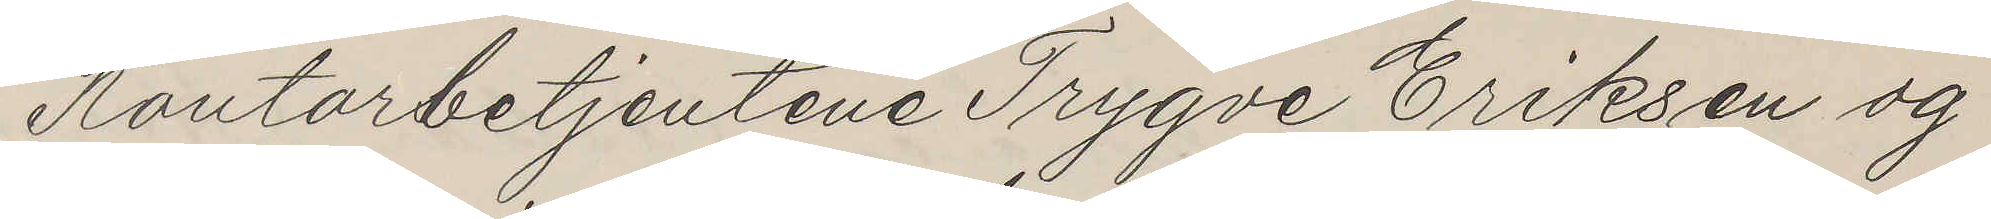Kontorbetjentene Trygve Eriksen og
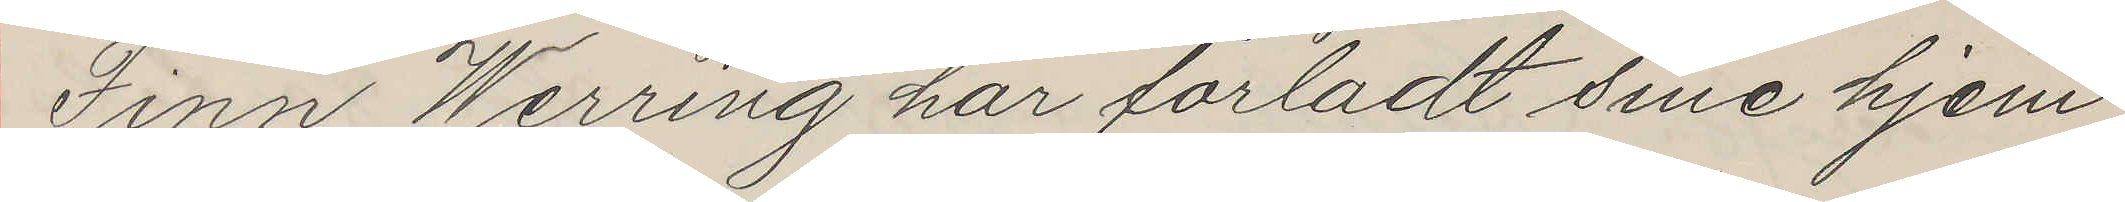Finn Werring har forladt sine hjem
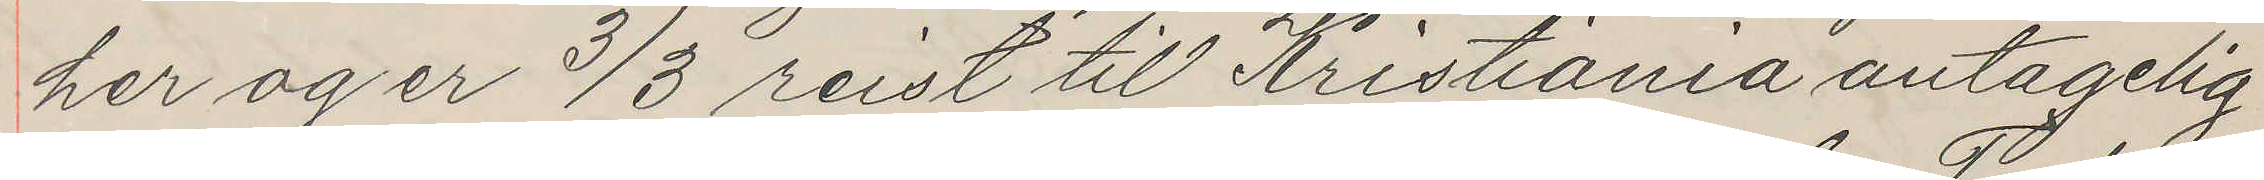her og er 3/3 reist til Kristiania antagelig
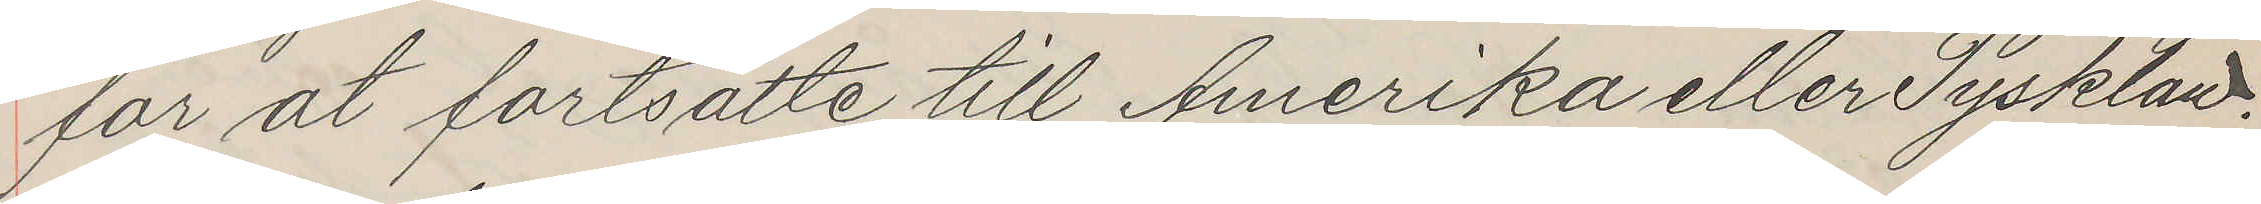for at fortsätte till Amerika eller Tyskland.
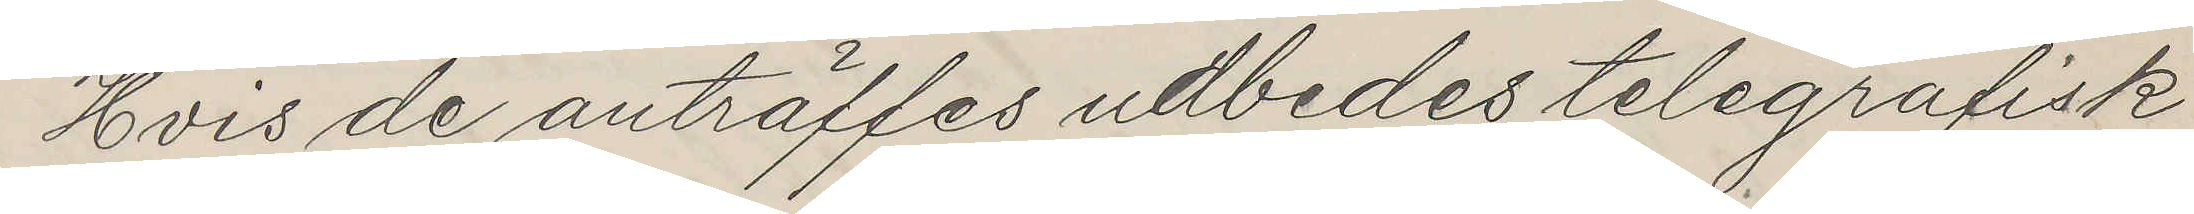Hvis de anträffes udbedes telegrafisk
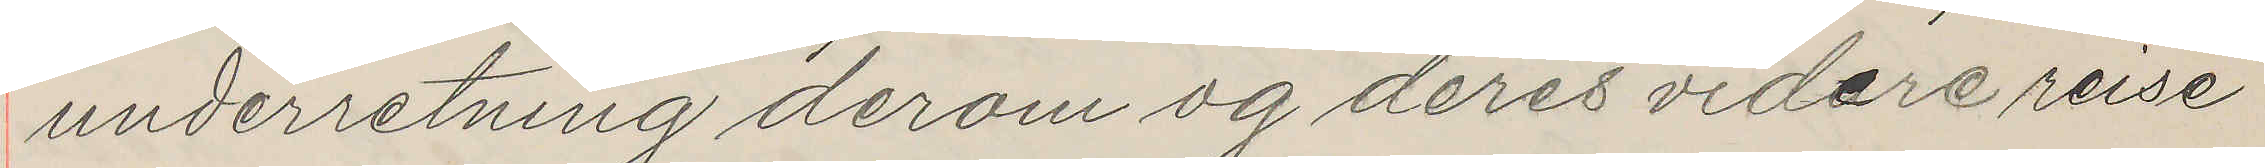underretning derom og deres videre reise
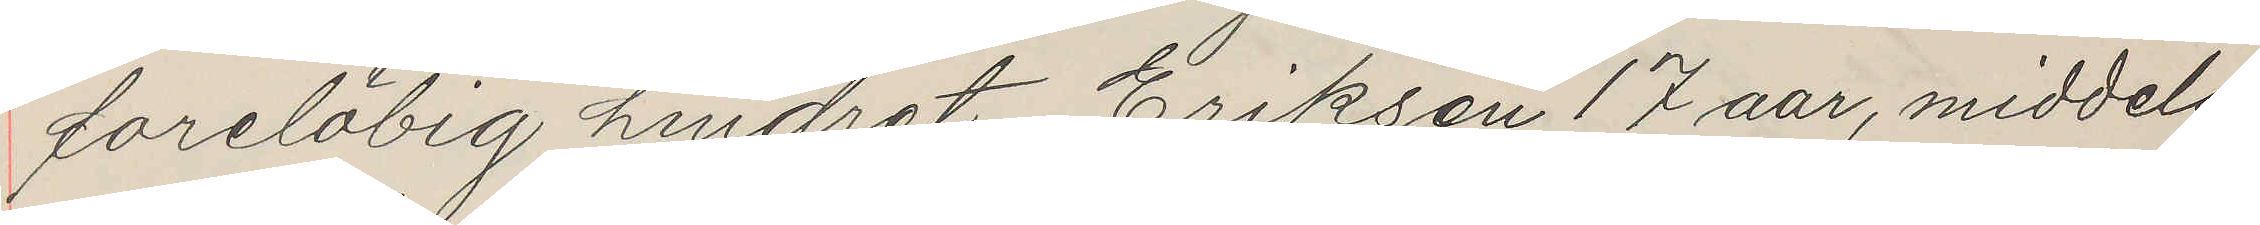forelöbig hindret. Eriksen 17 aar, middels
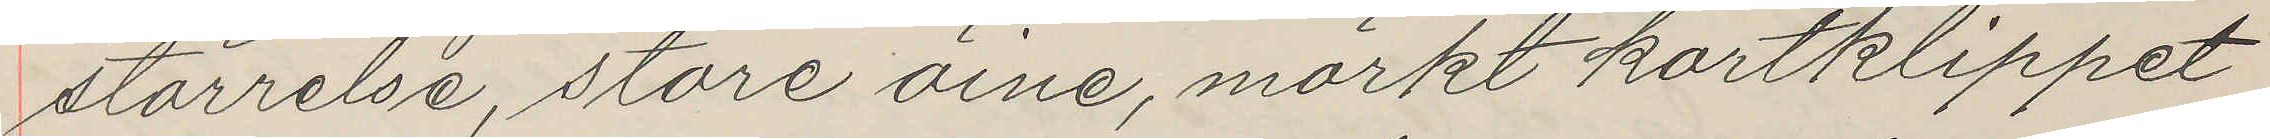störrelse, store öine, mörkt kortklippet
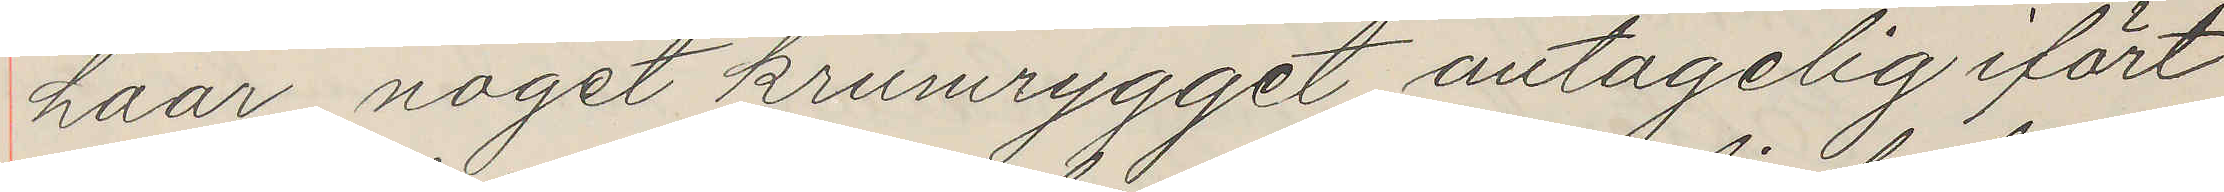haar, noget krumrygget, antagelig ifört
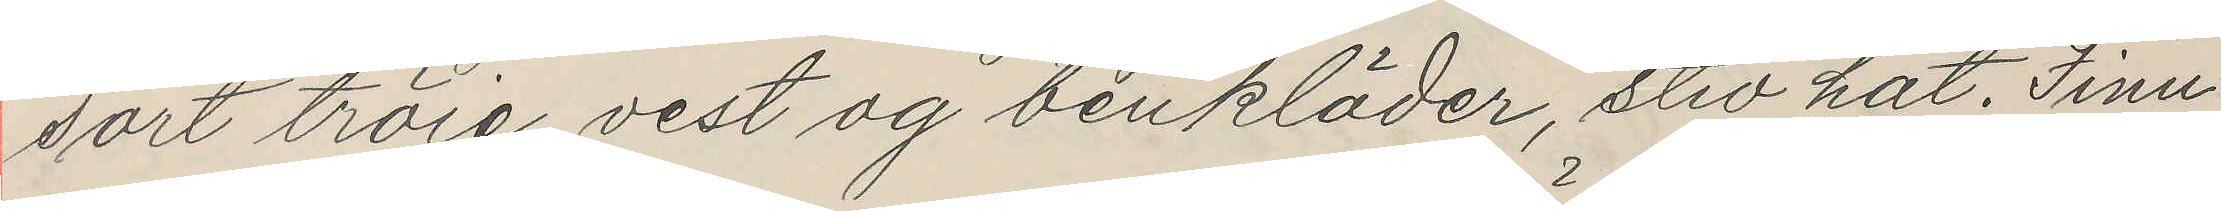sort tröie, vest og benkläder, stiv hat. Finn
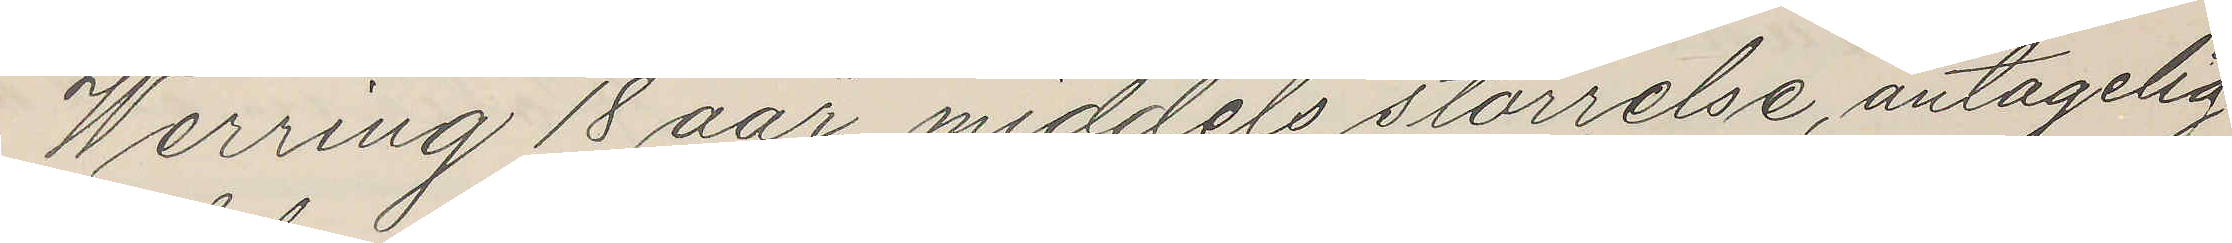Werring 18 aar, middels störrelse, antagelig
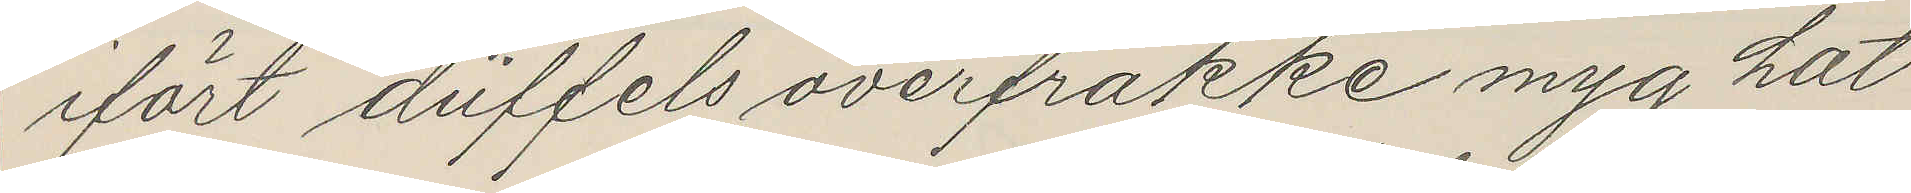ifört düffels overfrakke myg hat
